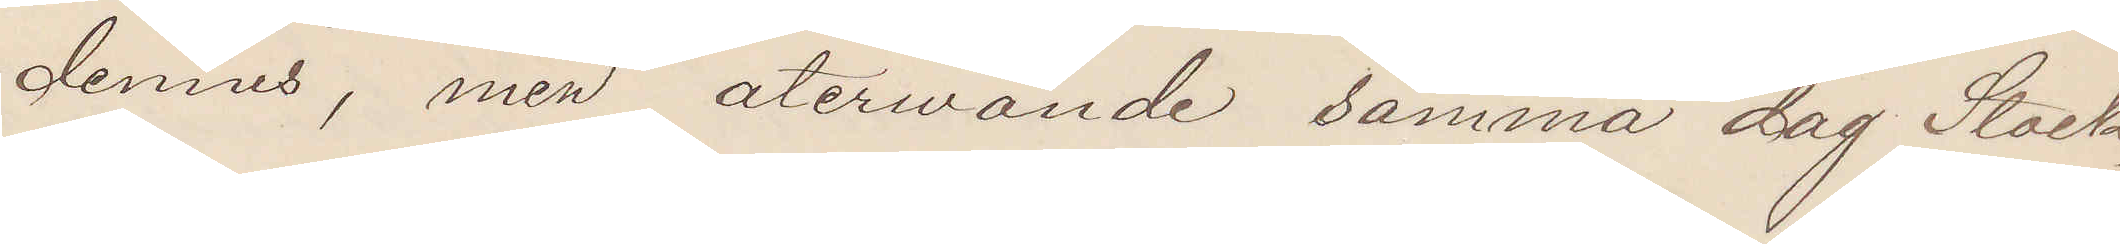dennes, men återvände samma dag Stock¬
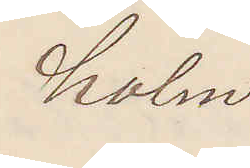holm.
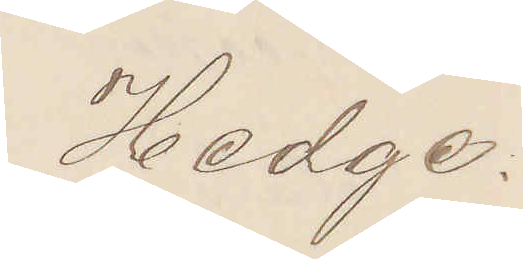Hedge.
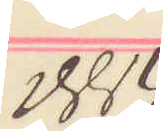1884
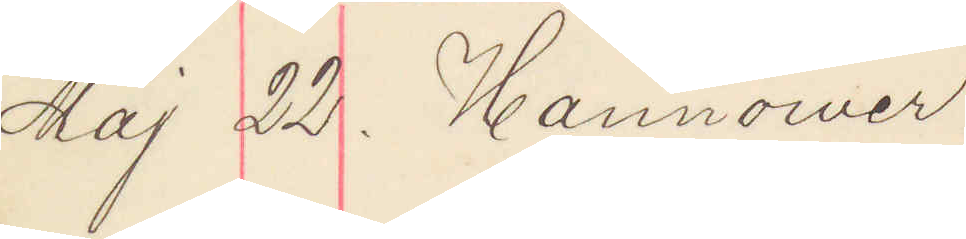Maj 22. Hannower
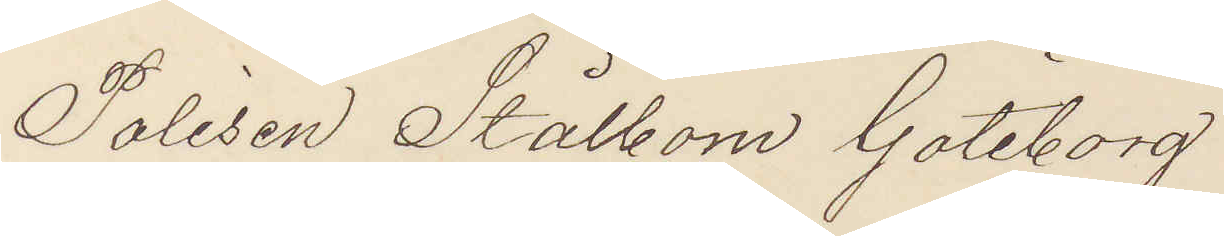Polisen Stålbom Göteborg.
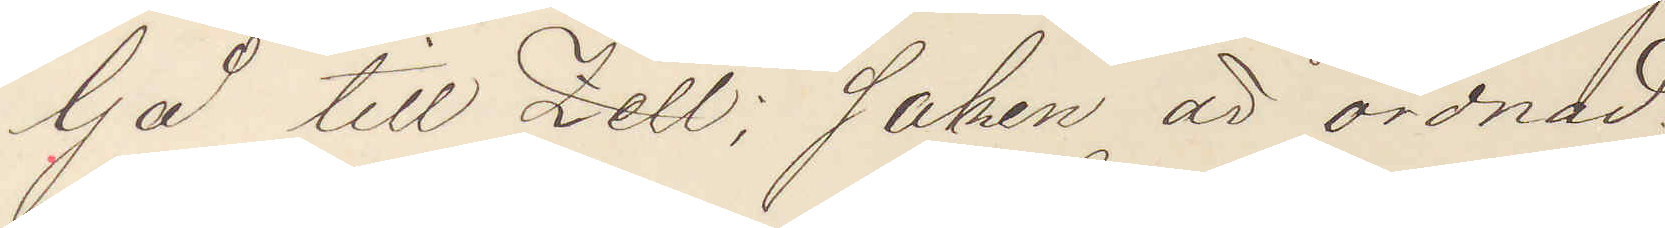Gå till Zell; Saken är ordnad.
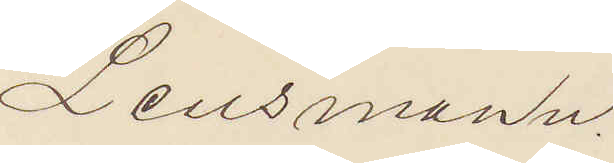Lensmann.
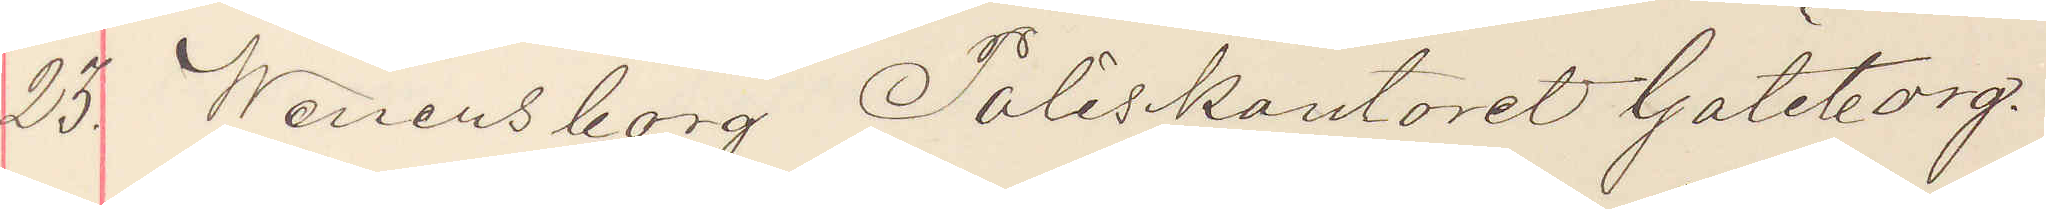23. Wenersborg Poliskontoret Göteborg.
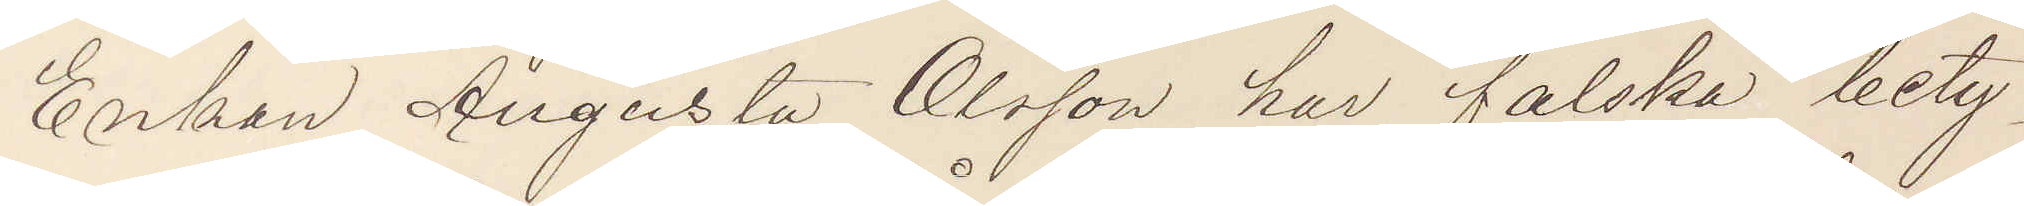Enkan Augusta Olsson har falska bety¬
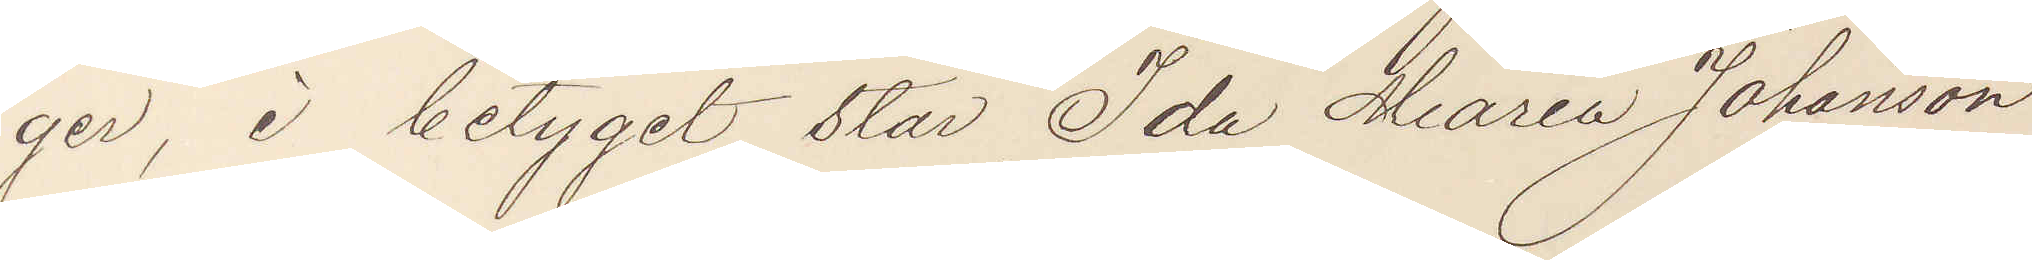ger, i betyget står Ida Maria Johansson
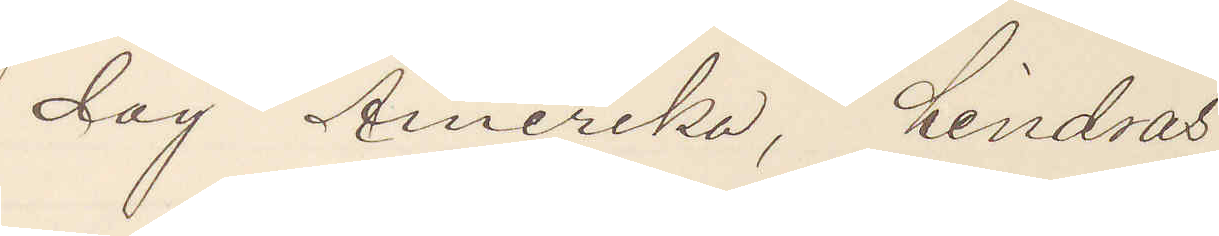dag Amerika, hindras
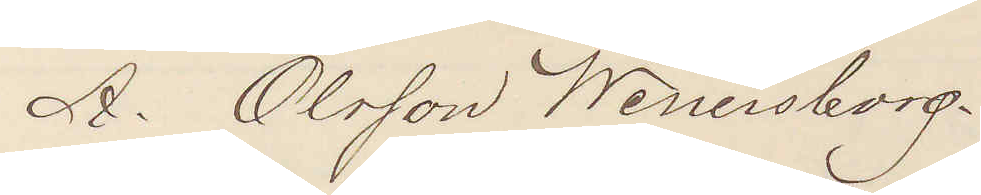A. Olsson Wenersborg.
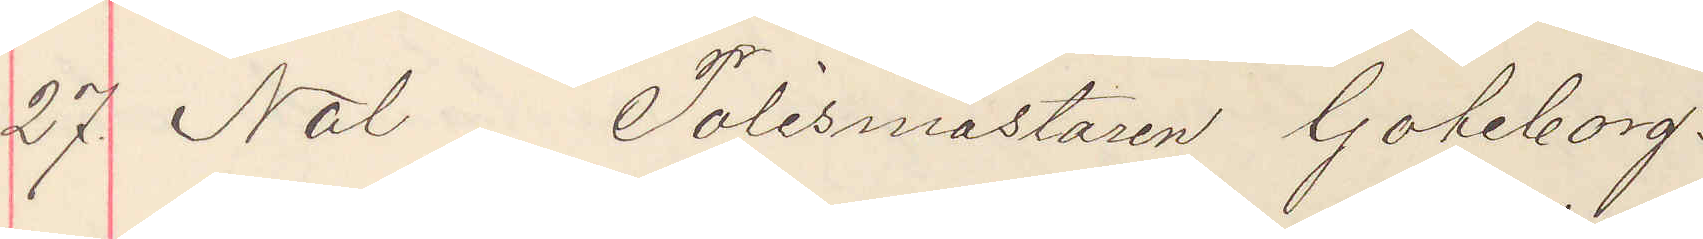27. Nol Polismästaren Göteborg.
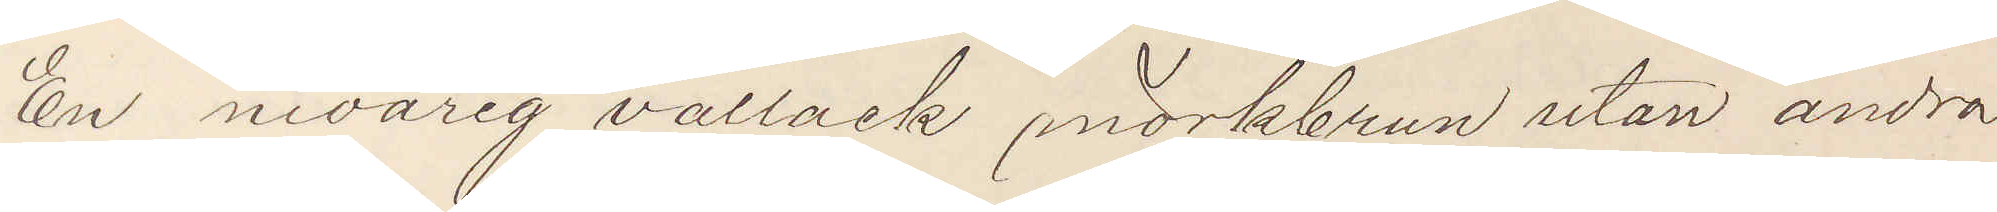En nioårig vallack mörkbrun utan andra
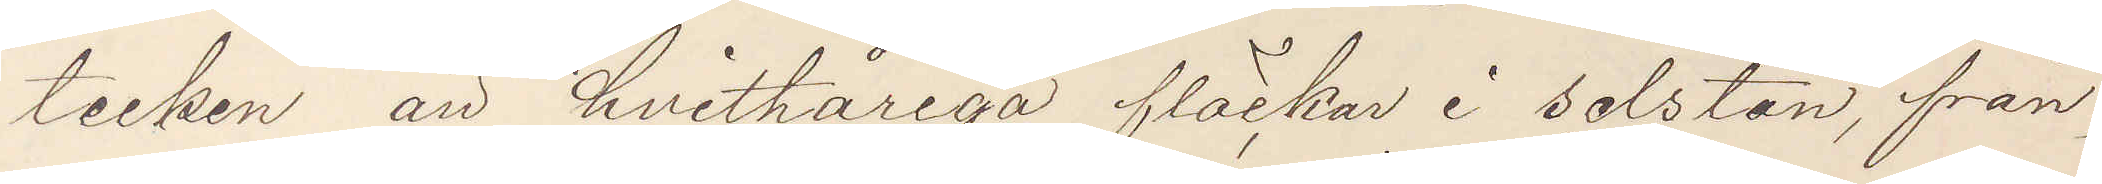tecken än hvithåriga fläckar i selstan från¬
